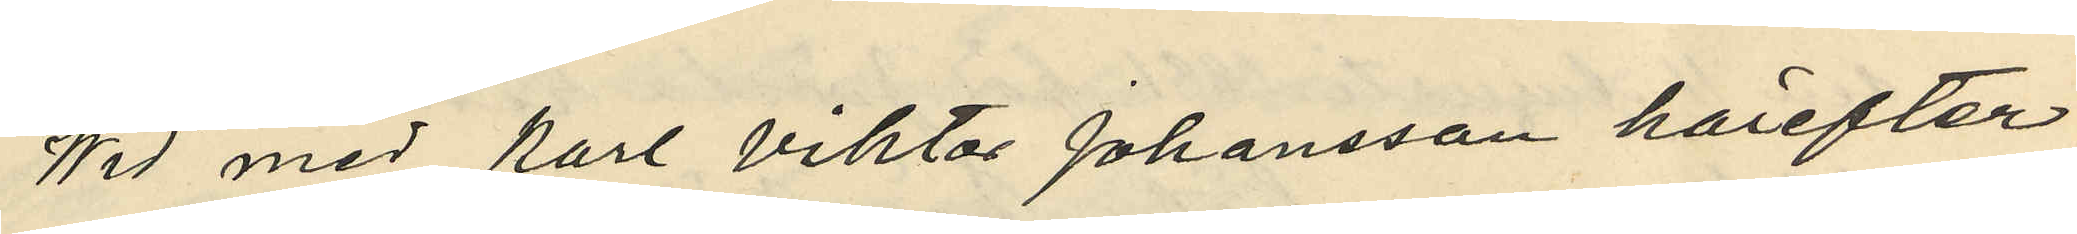Wid med Karl Viktor Johansson härefter
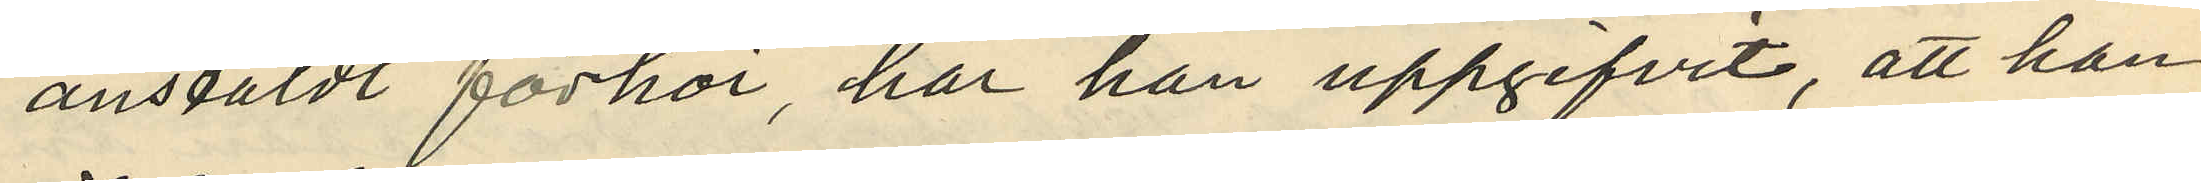anstäldt förhör, har han uppgifvit, att han
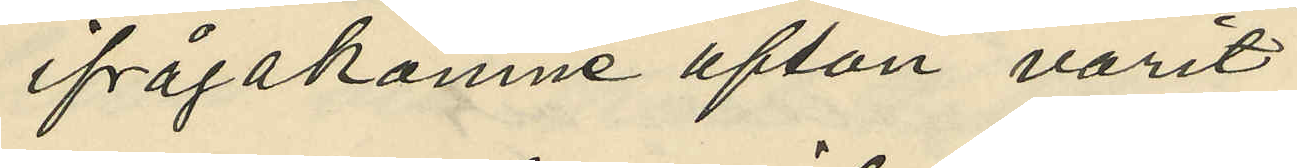ifrågakomne afton varit
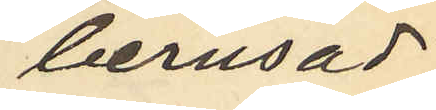berusad,
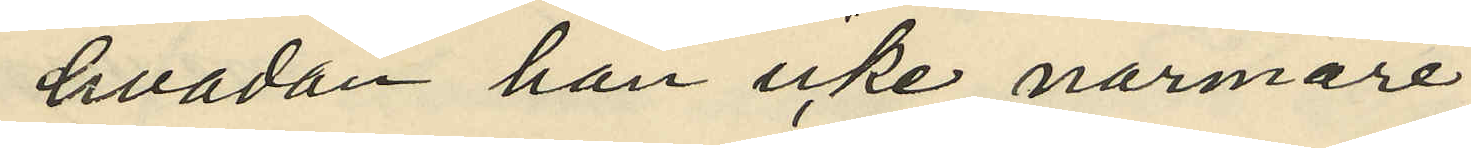hvadan han icke närmare
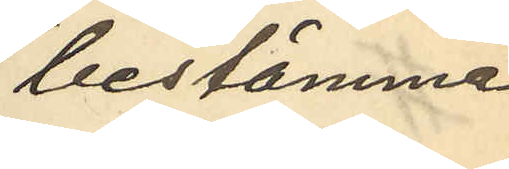bestämma
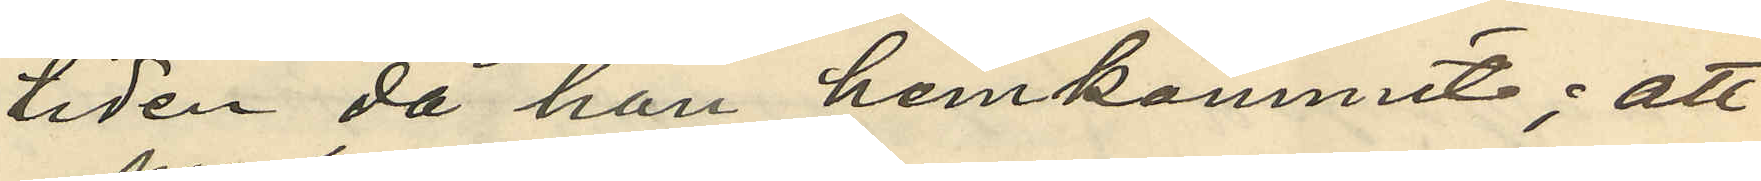tiden då han hemkommit; att
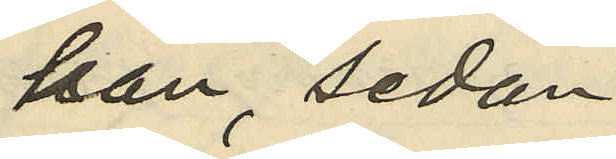han, sedan
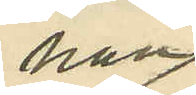han
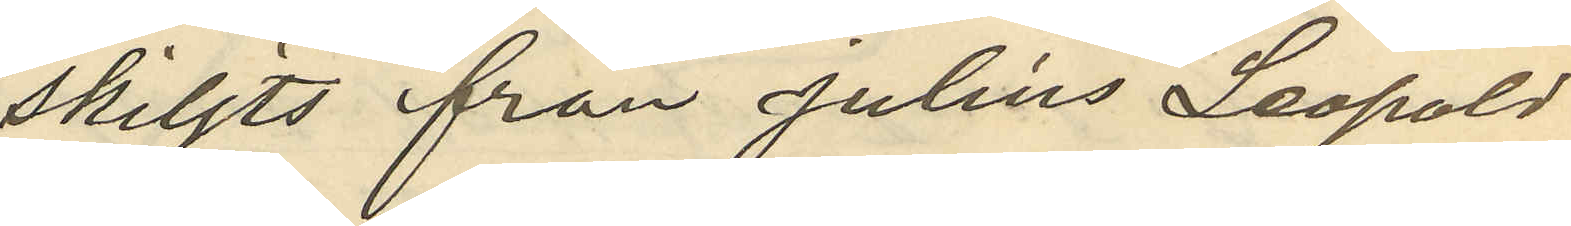skiljts från Julius Leopold
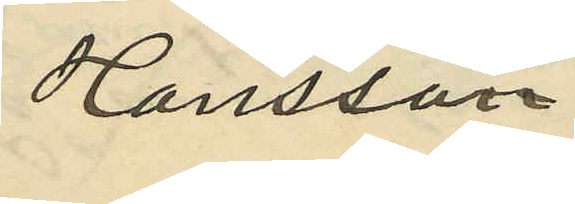Hansson
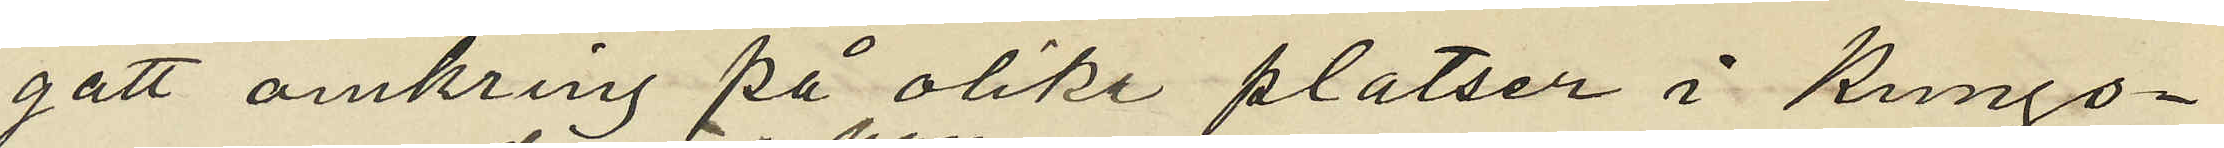gått omkring på olika platser i Kungs¬
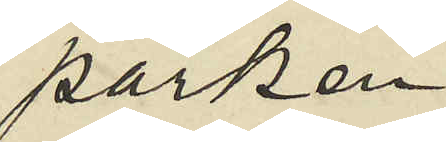parken
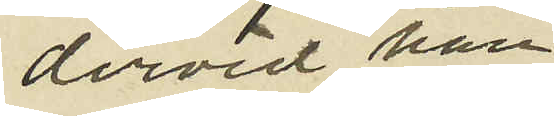dervid han
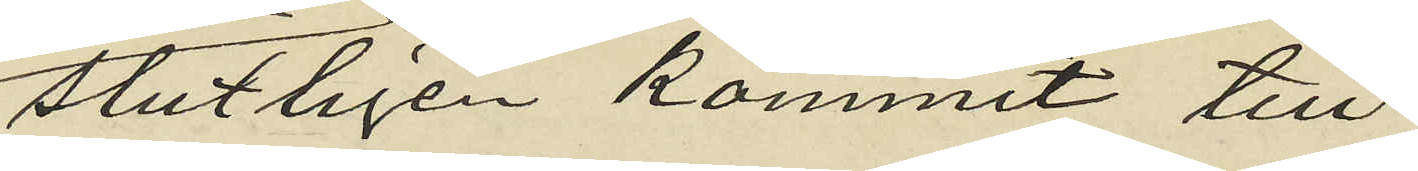slutligen kommit till
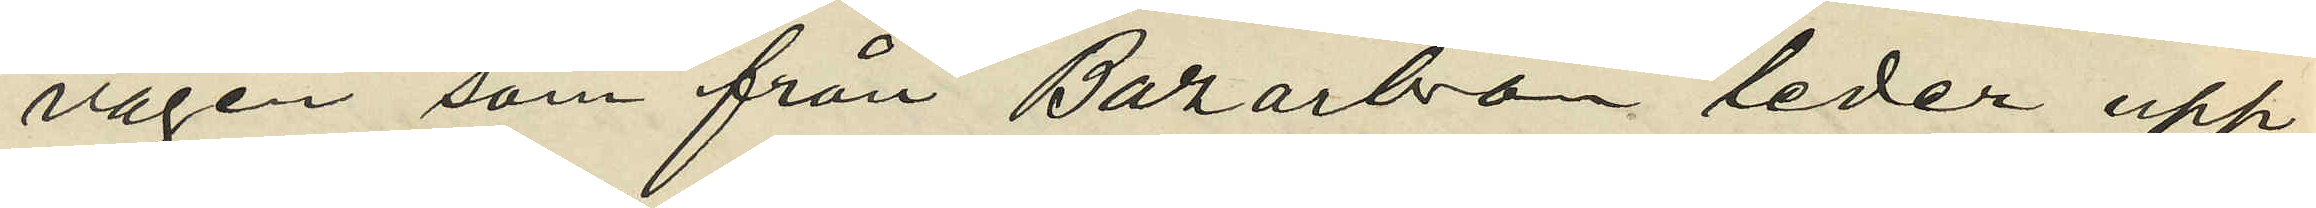vägen som från Bazarbron leder upp
